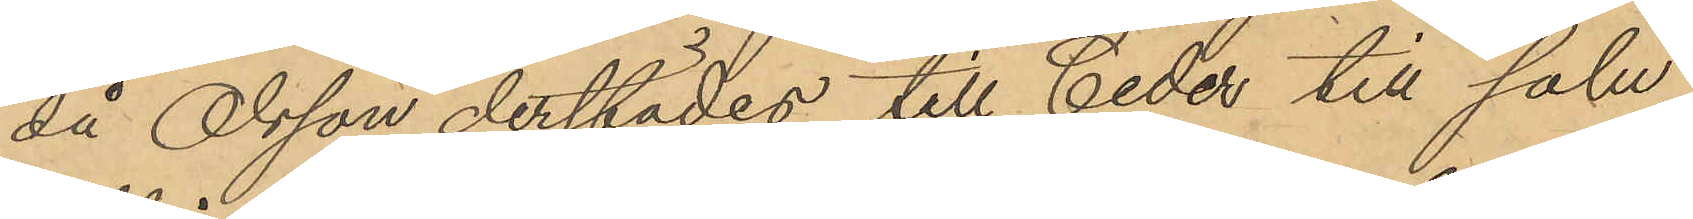då Olsson derstädes till Ceder till salu
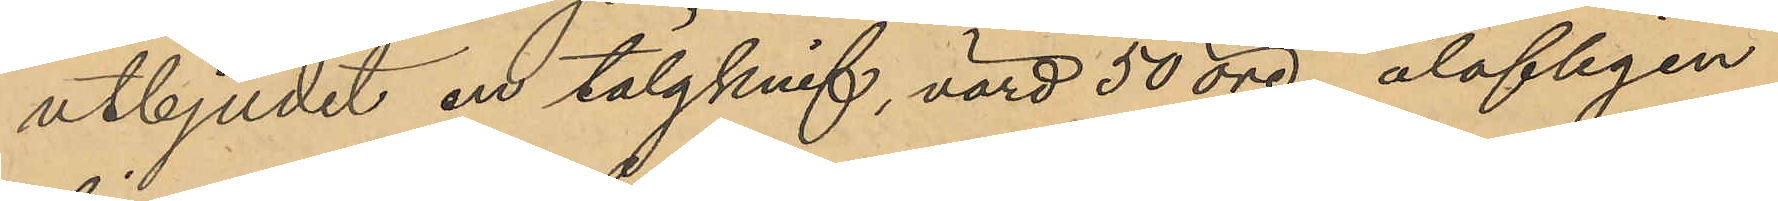utbjudit en tälgknif, värd 50 öre, olofligen
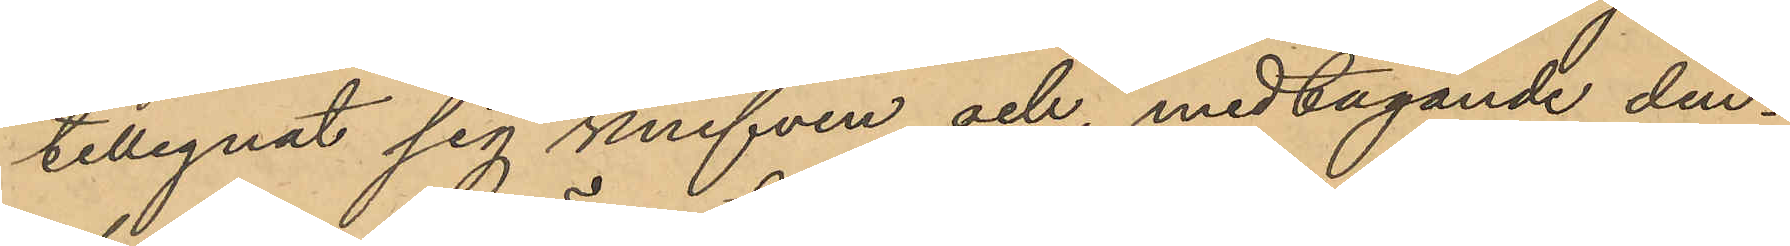tillegnat sig knifven och, medtagande den¬
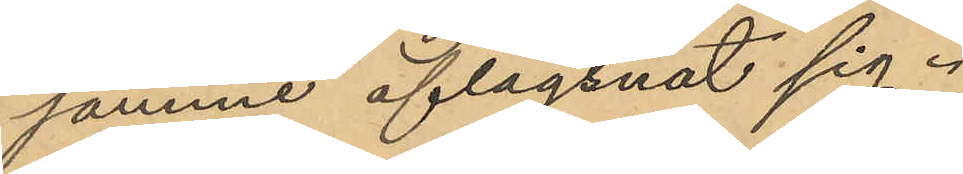samme aflägsnat sig.
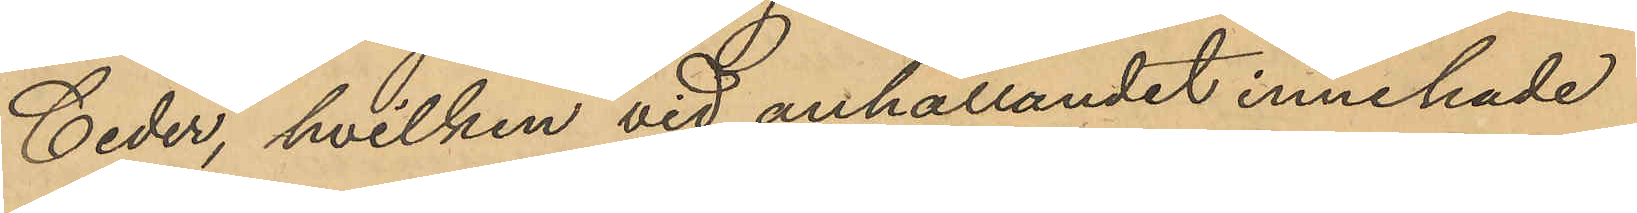Ceder, hvilken vid anhållandet innehade
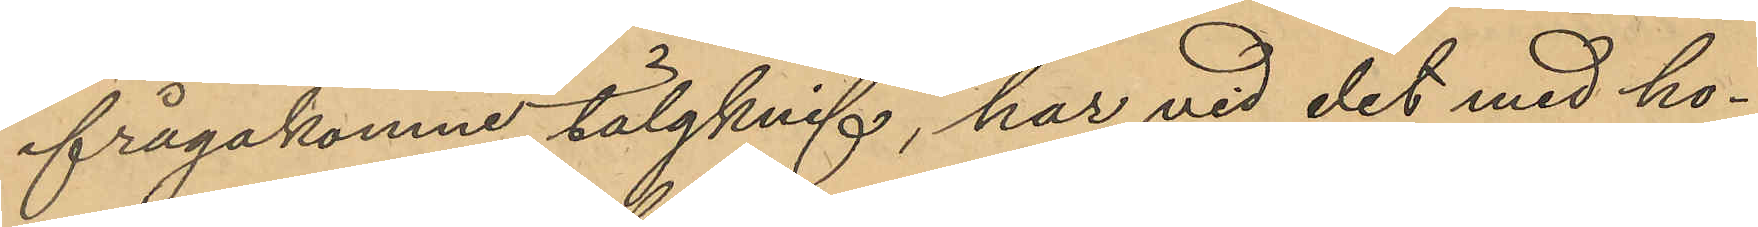ifrågakomne tälgknif, har vid det med ho¬
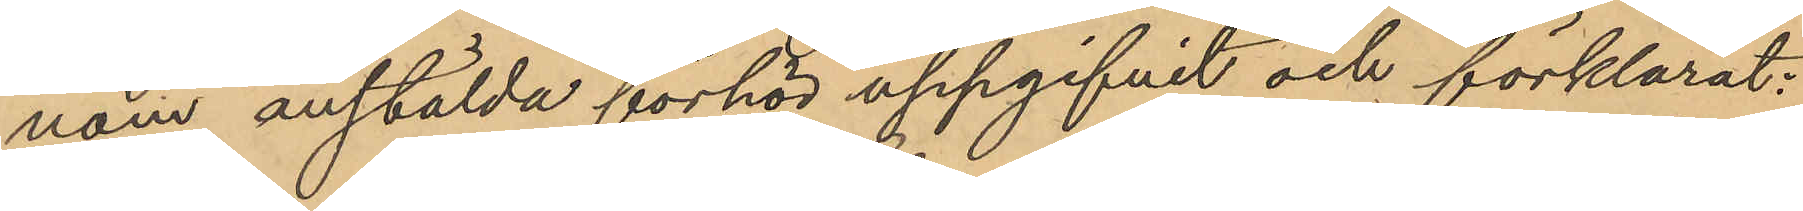nom anstälda förhör uppgifvit och förklarat:
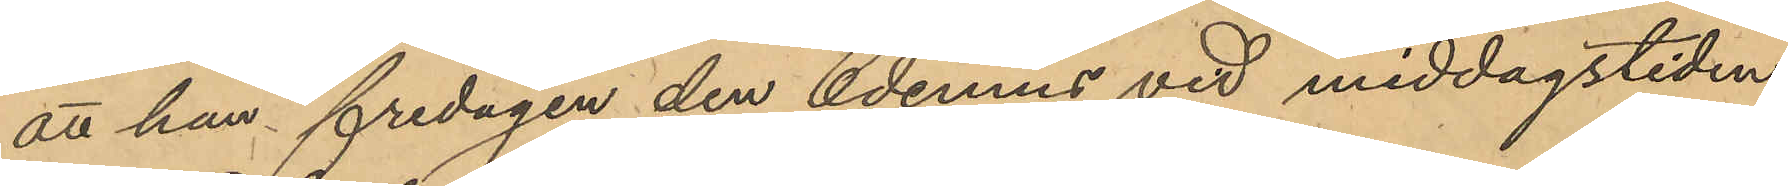att han fredagen den 6 dennes vid middagstiden
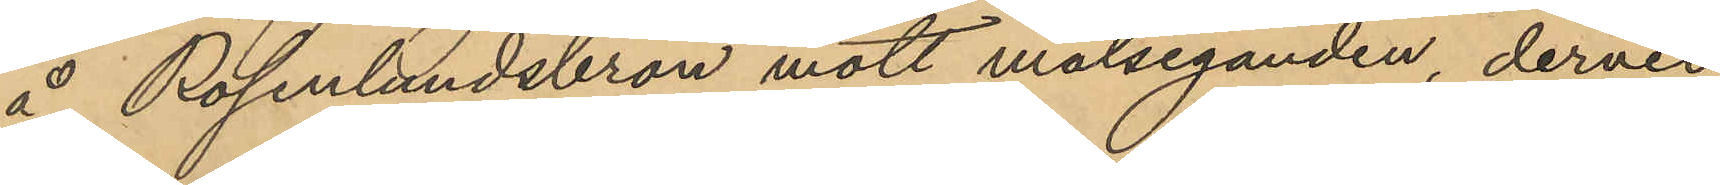å Rosenlundsbron mött målseganden, dervid
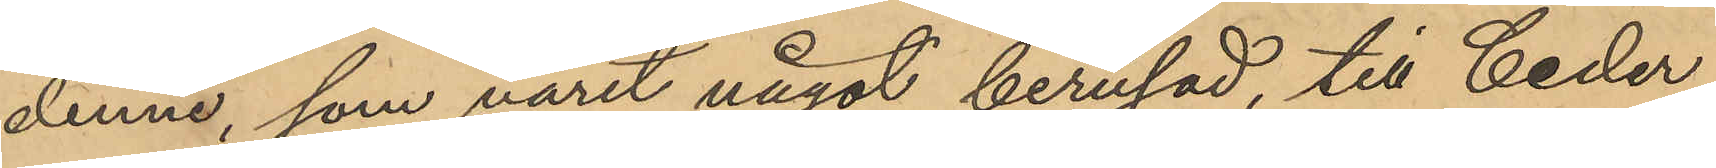denne, som varit något berusad, till Ceder
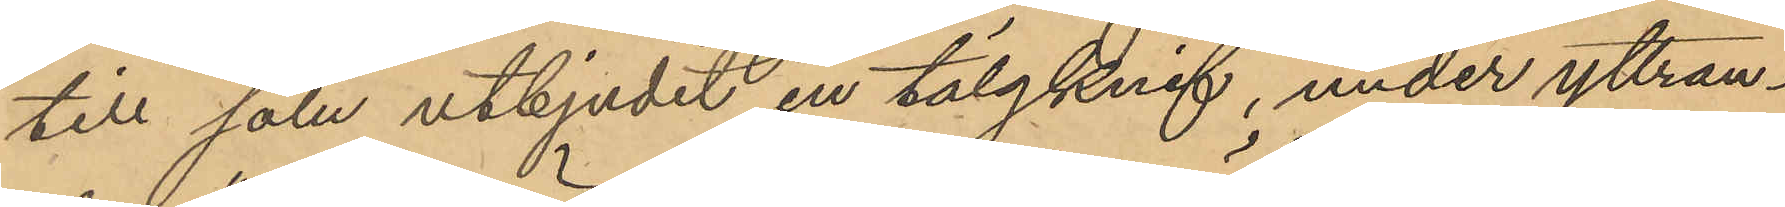till salu utbjudit en tälgknif, under yttran¬
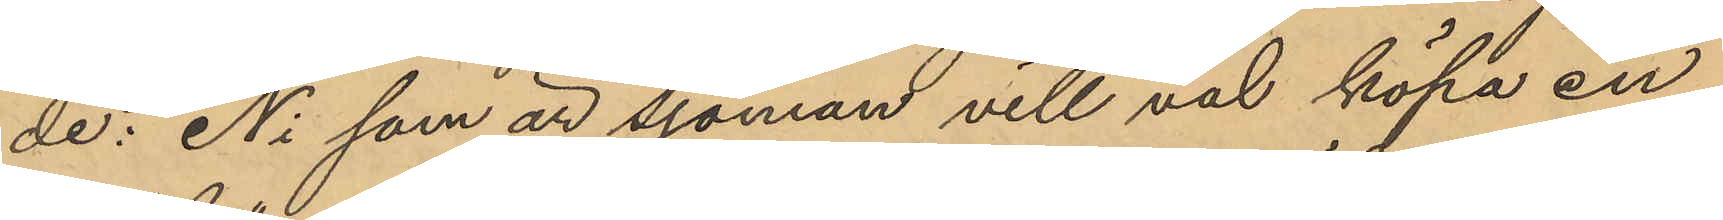de: "Ni som är sjöman vill väl köpa en
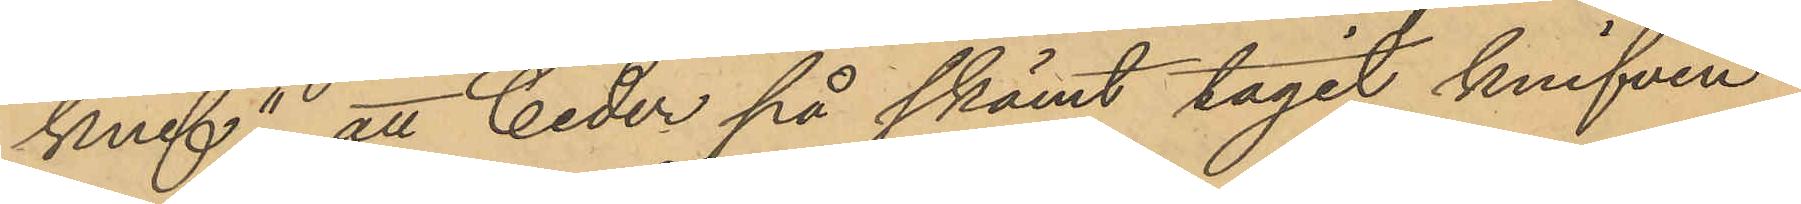knif"; att Ceder på skämt tagit knifven
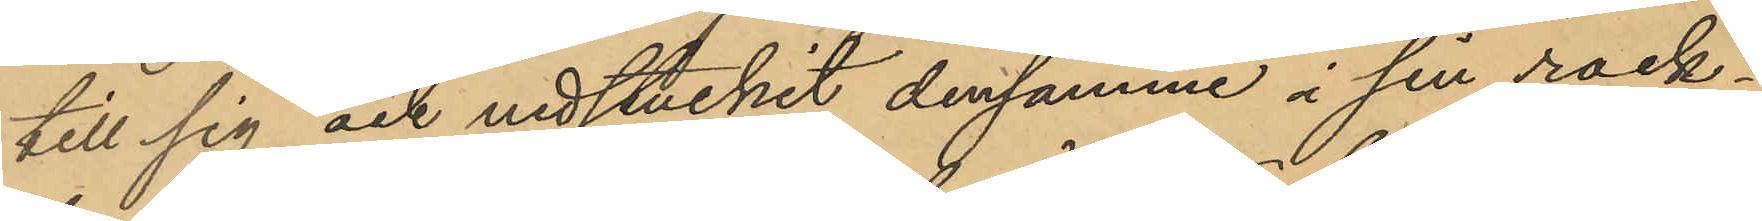till sig och nedstuckit densamme i sin rock¬
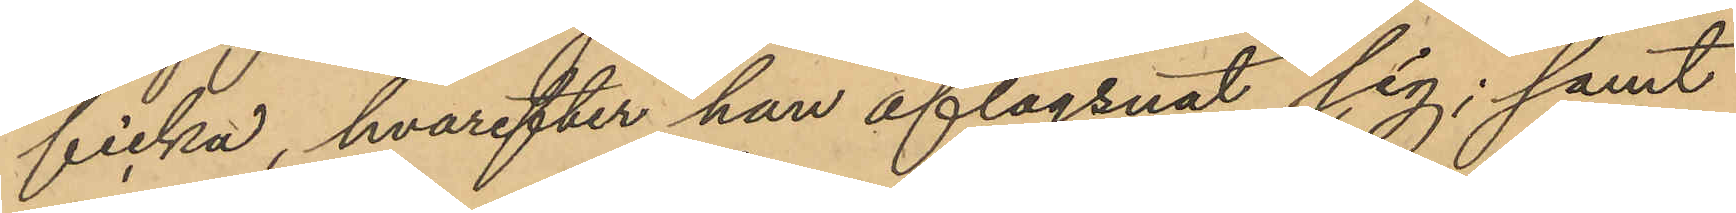ficka, hvarefter han aflägsnat sig; samt
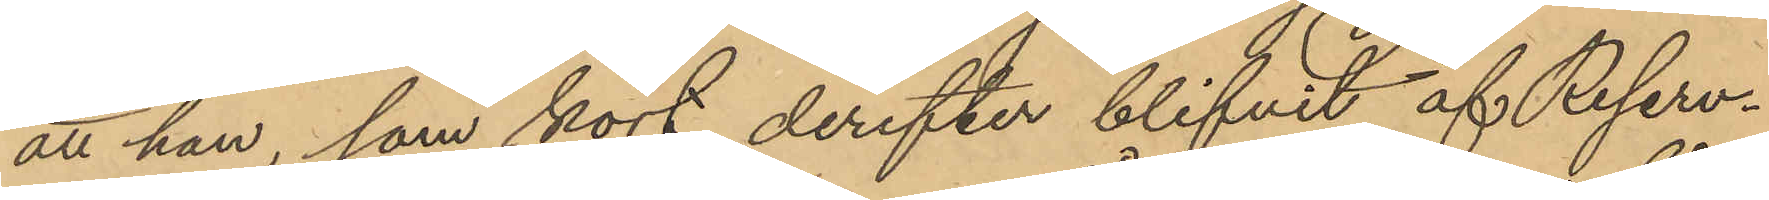att han, som kort derefter blifvit af Reserv¬
